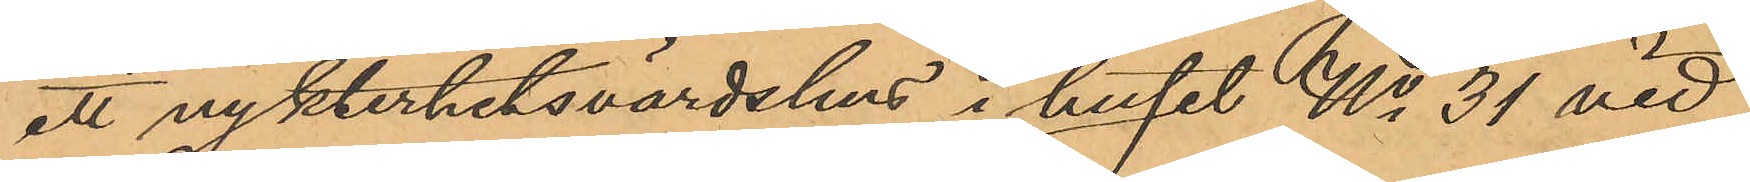ett nykterhetsvärdshus i huset No 31 vid
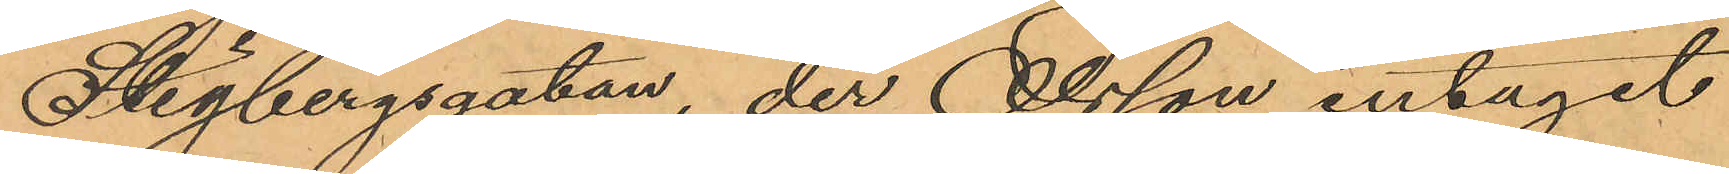Stigbergsgatan, der Olsson intagit
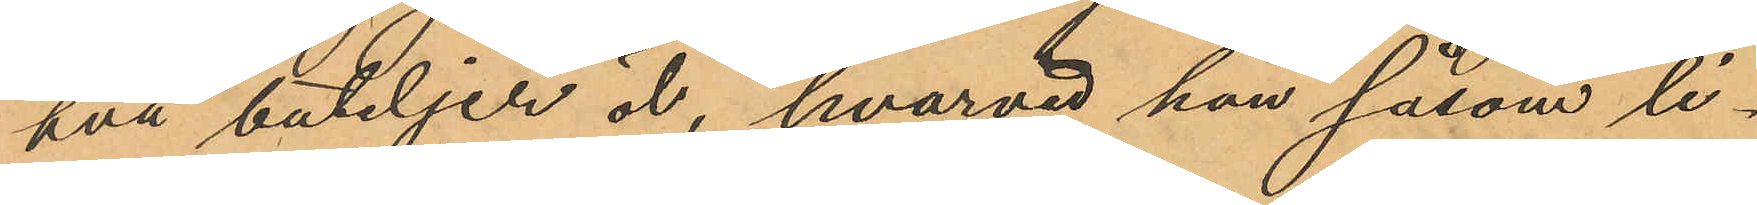två buteljer öl, hvarvid han såsom li¬
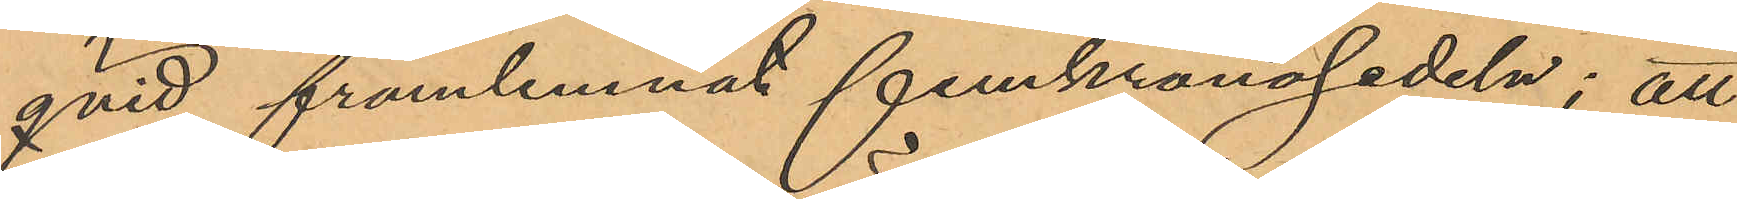qvid framlemnat femkronosedeln; att
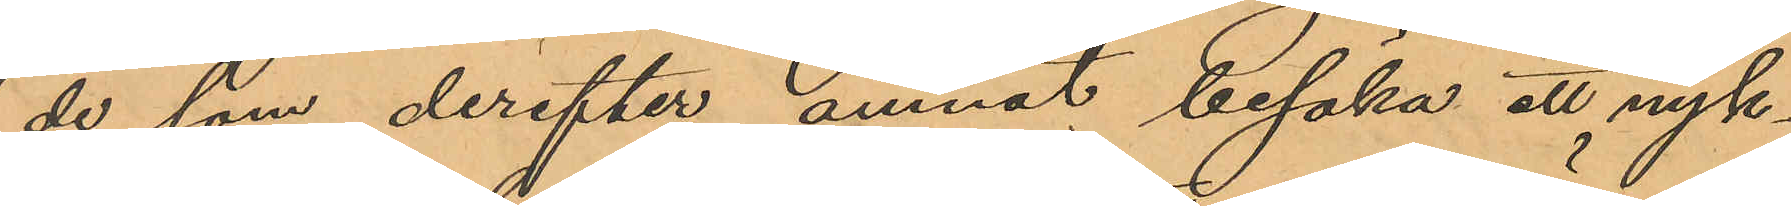de som derefter ämnat besöka att nyk¬
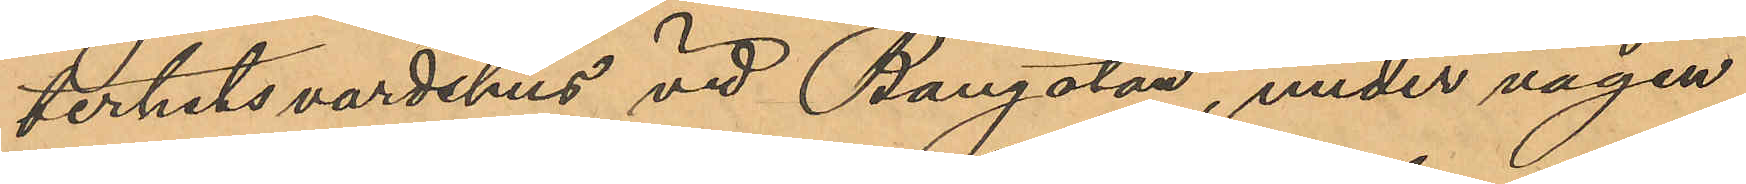terhetsvärdshus vid Bangatan, under vägen
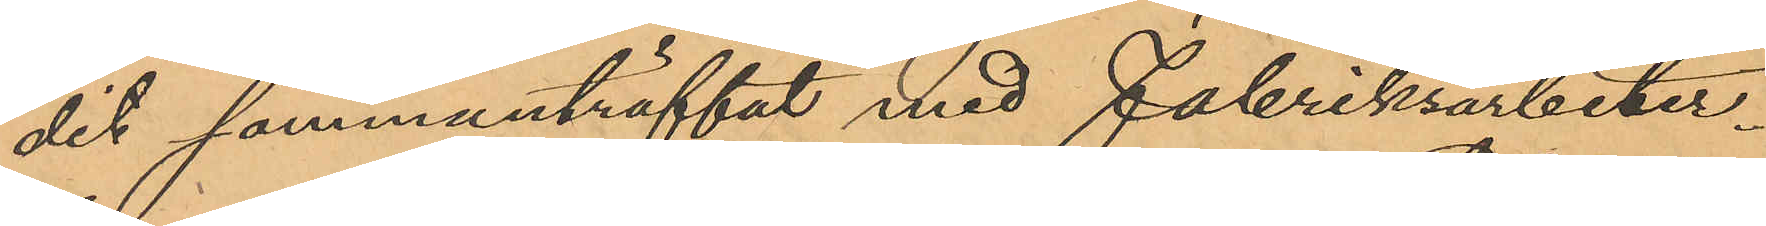dit sammanträffat med Fabriksarbeter¬
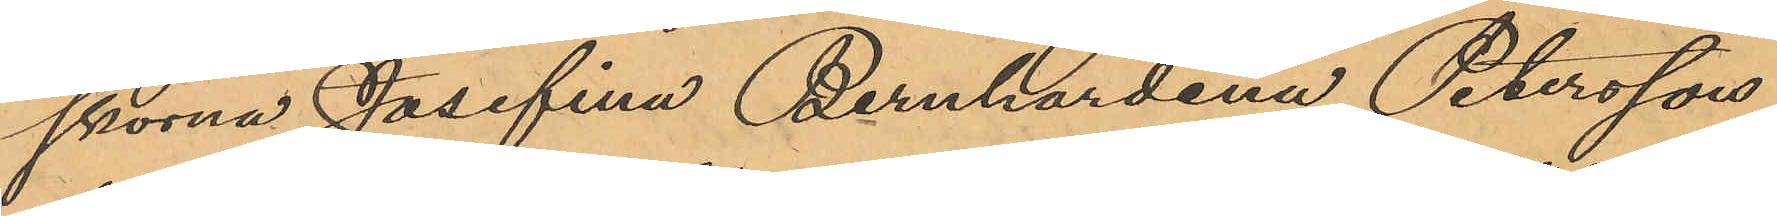skorna Josefina Bernhardina Petersson,
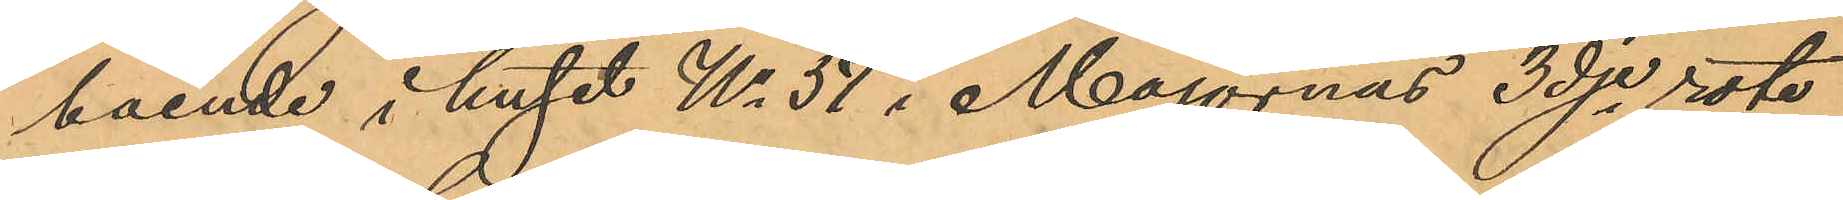boende i huset No 57 i Majornas 3dje rote,
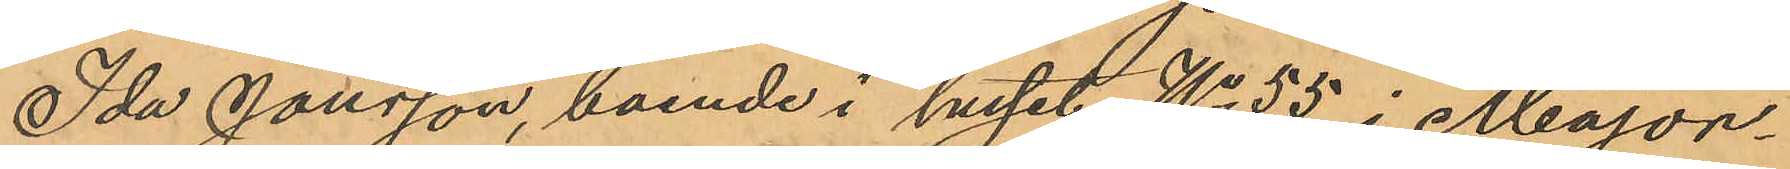Ida Jonsson, boende i huset No 55 i Major¬
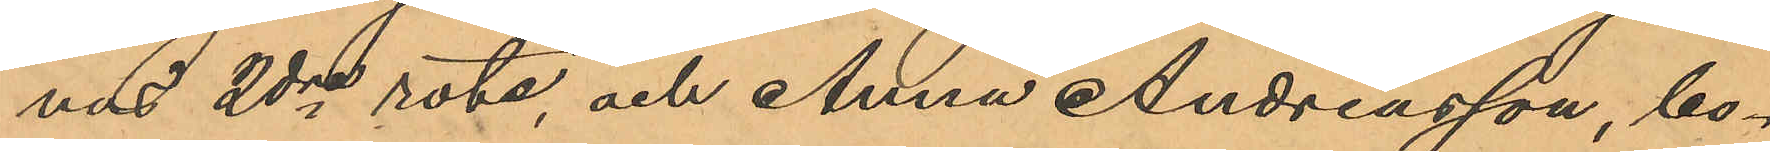nad 2dre rote, och Anna Andreasson, bo¬
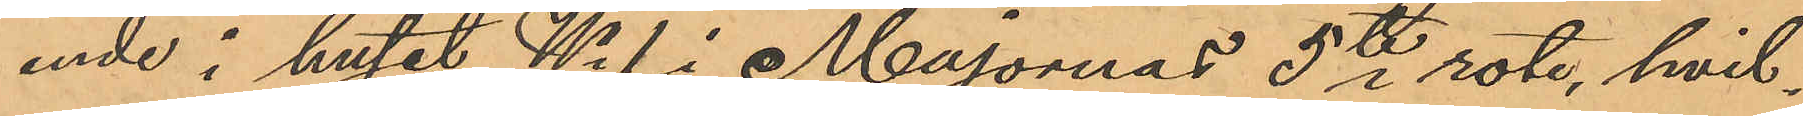ende i huset No 1 i Majornas 5te rote, hvil¬
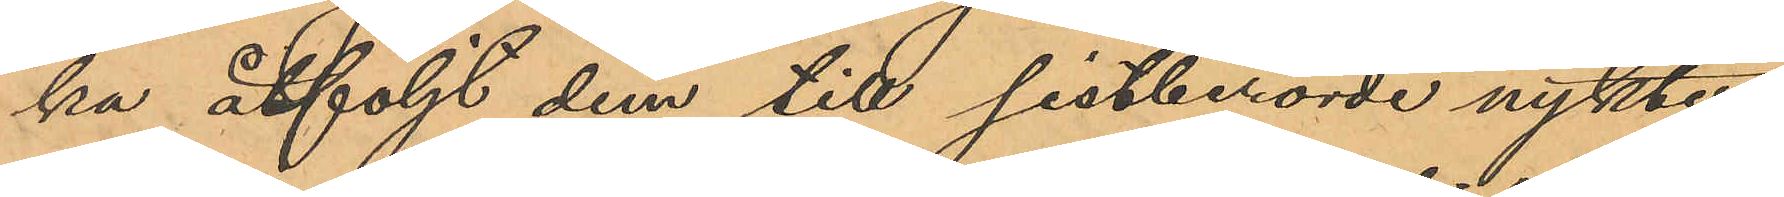ka åtföljt dem till sistberörde nykter¬
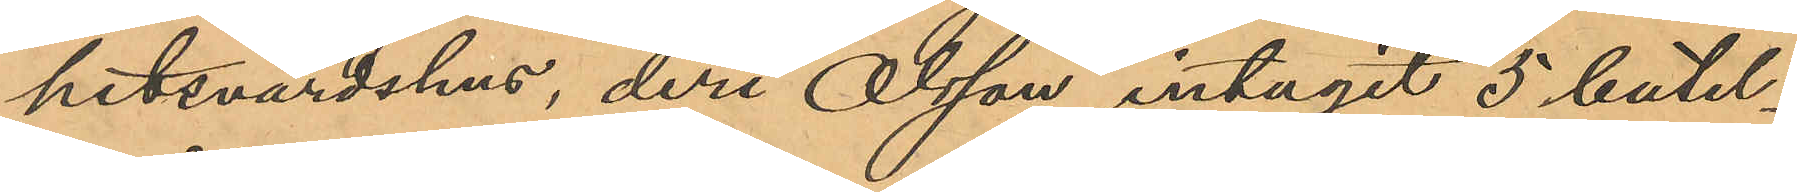hetsvärdshus, deri Olsson intagit 5 butel¬
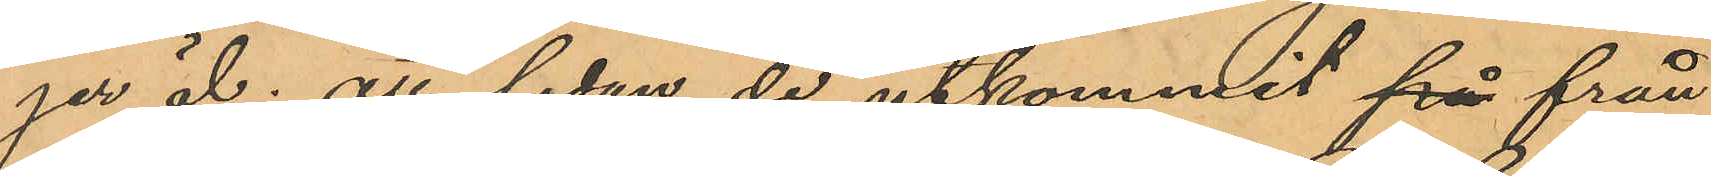jer öl; att sedan de utkommit på från
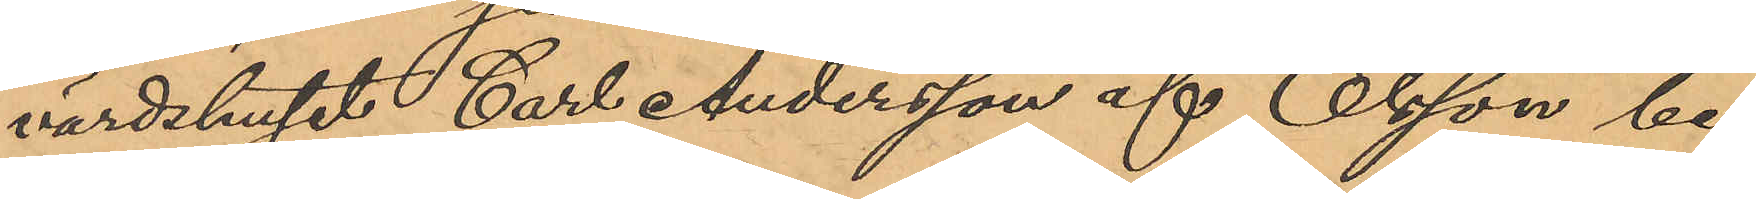värdshuset Carl Andersson af Olsson be¬
